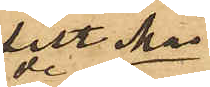sist. Mai ds
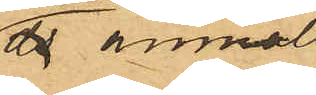 anmält,
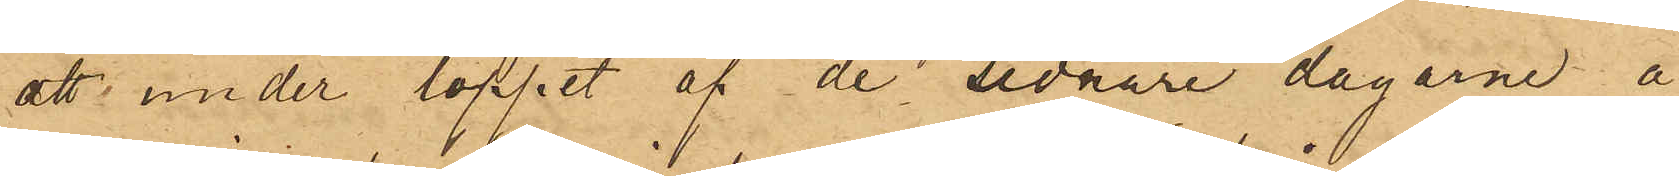att under loppet af de sednare dagarne å
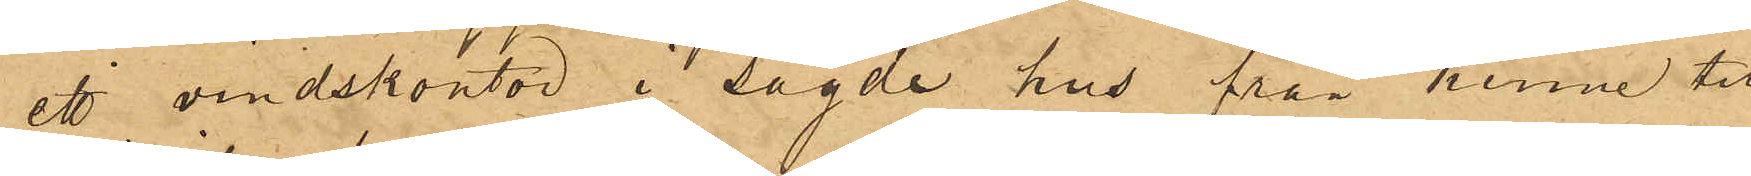ett vindskontor i sagde hus från henne till¬
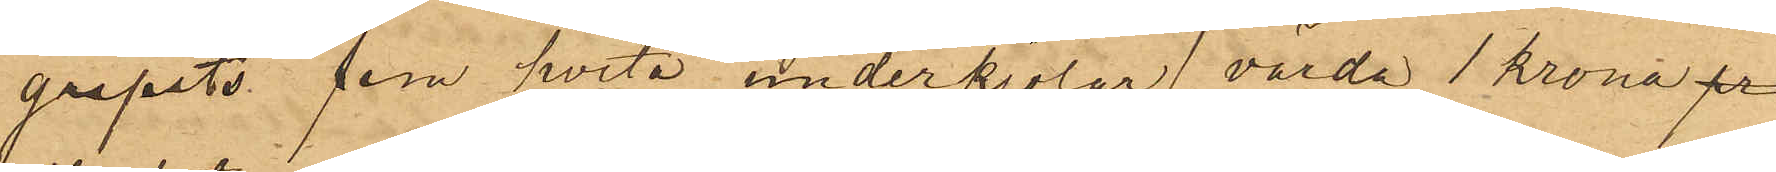gripits fem hvita underkjolar, värda 1 krona pr
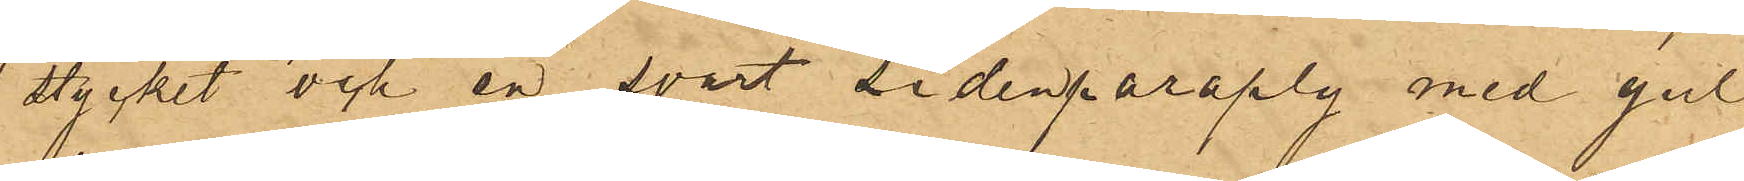stycket och en svart sidenparaply med gul
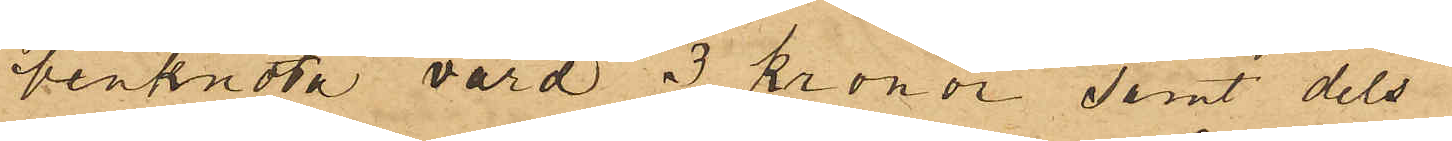benknota värd 3 kronor samt dels
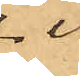i
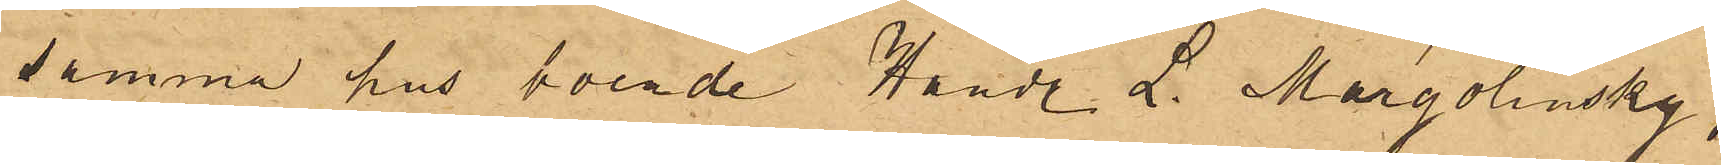samma hus boende Handl. L. Margolinsky,
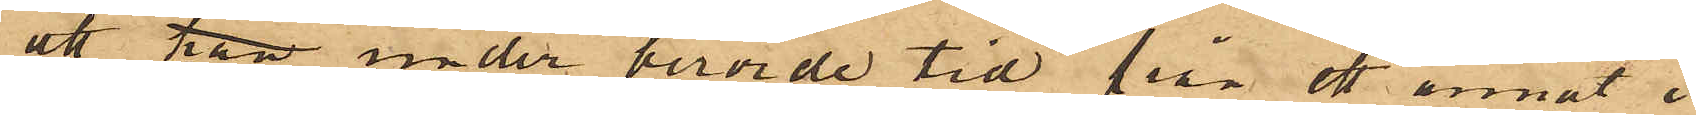att han under berörde tid från ett annat i
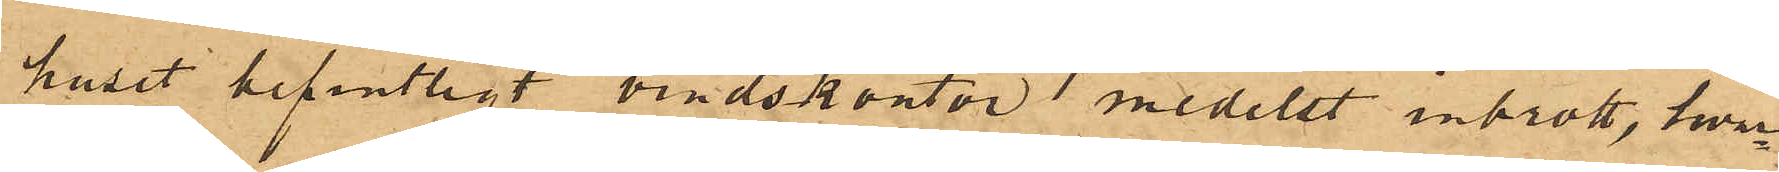huset befintligt vindskontor medelst inbrott, hvar¬
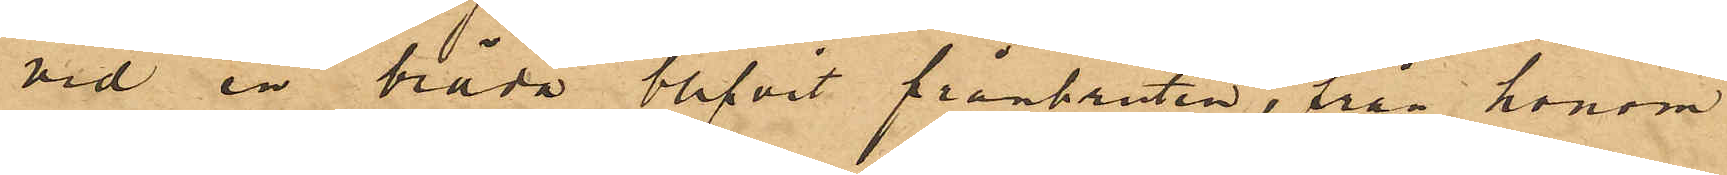vid en bräda blifvit frånbruten, från honom
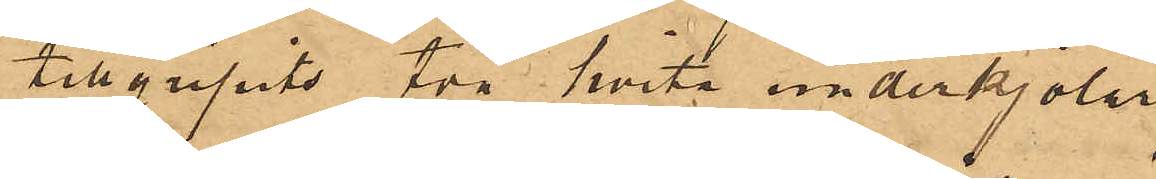tillgripits två hvita underkjolar
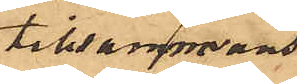tillsammans
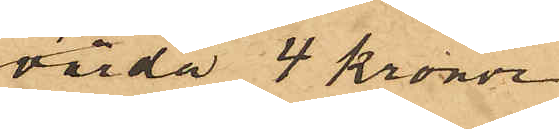värda 4 kronor
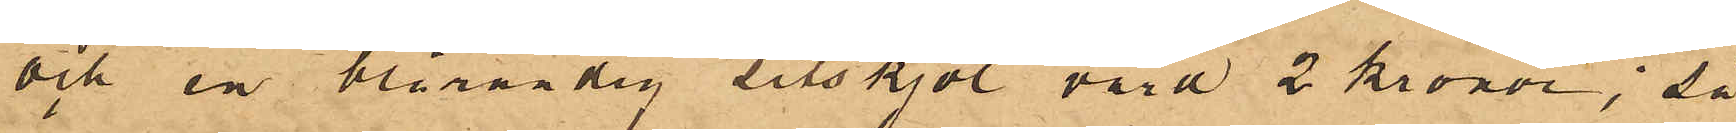och en blårandig dito kjol värd 2 kronor; så
